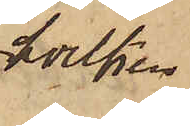hvilken
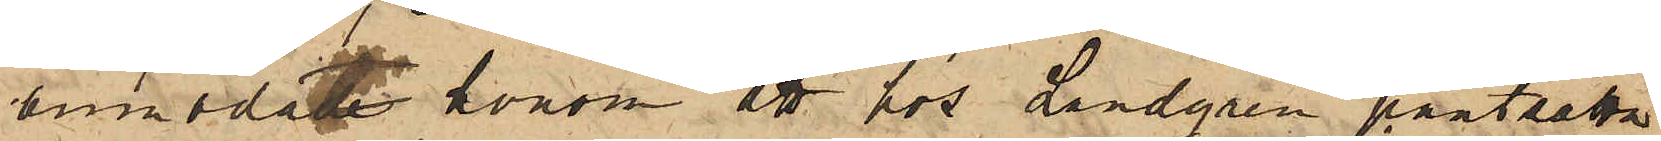anmodat honom att hos Landgren pantsatta
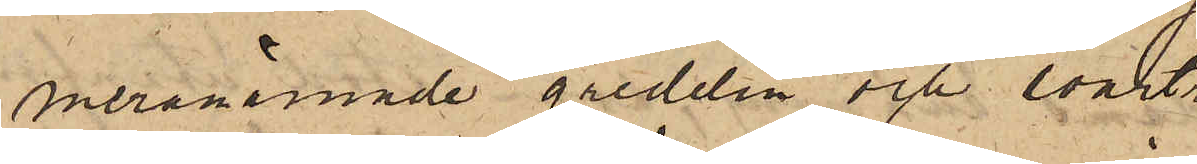meranämnde gredelin och svart¬
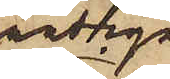randiga
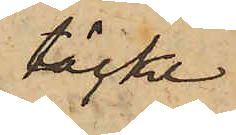täcke
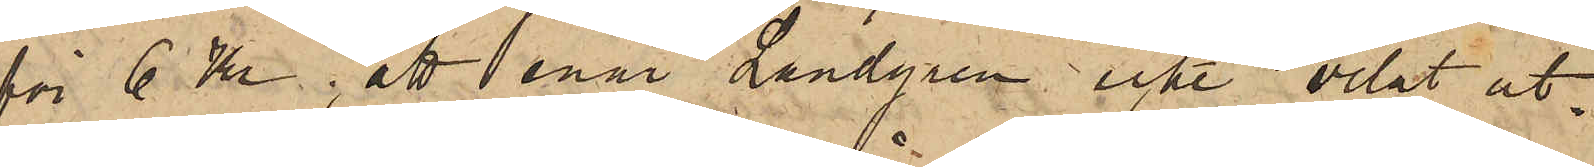för 6 Kr; att enär Landgren icke velat ut¬
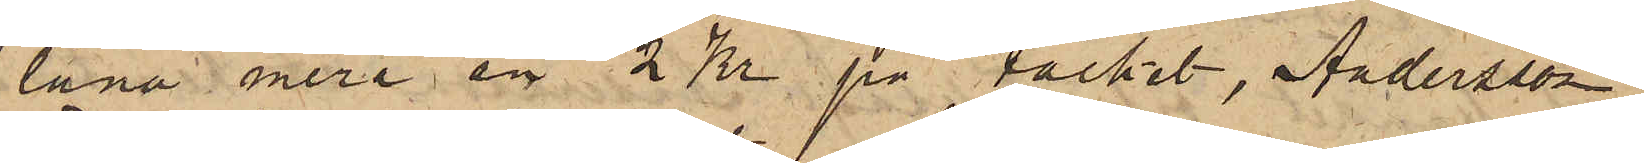låna mera än 2 Kr på täcket, Andersson
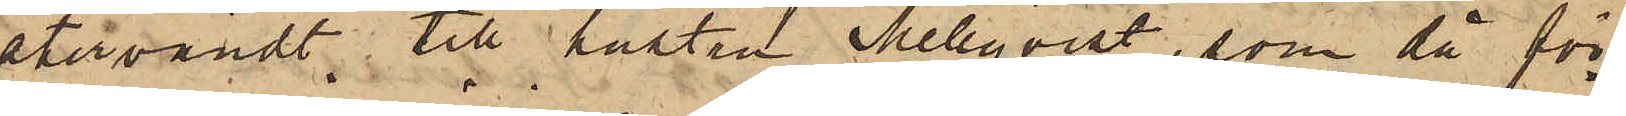återvändt till hustru Mellqvist, som då för¬
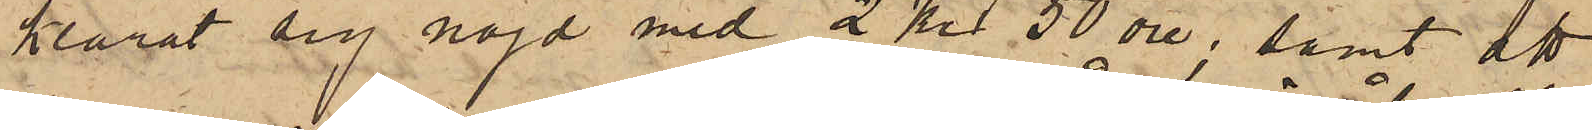klarat sig nöjd med 2 Kr 50 öre, samt att
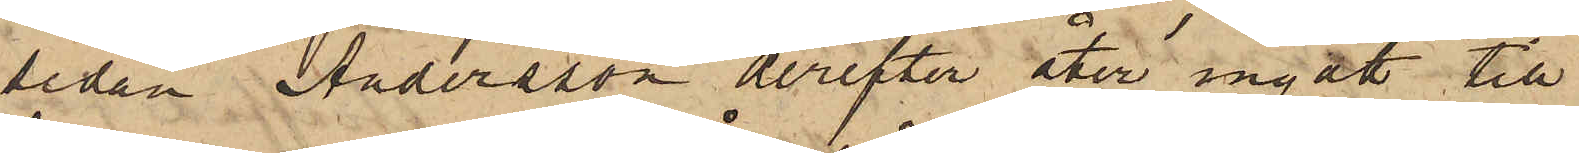sedan Andersson derefter åter ingått till
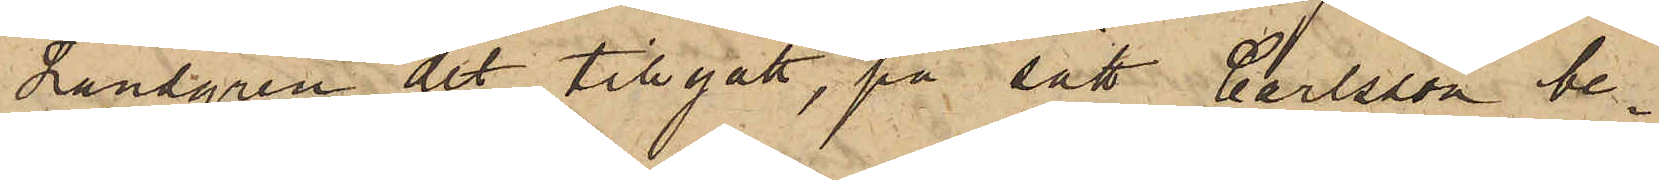Landgren det tillgått, på sätt Carlsson be¬
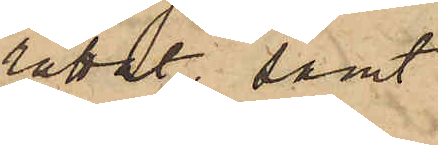rättat samt
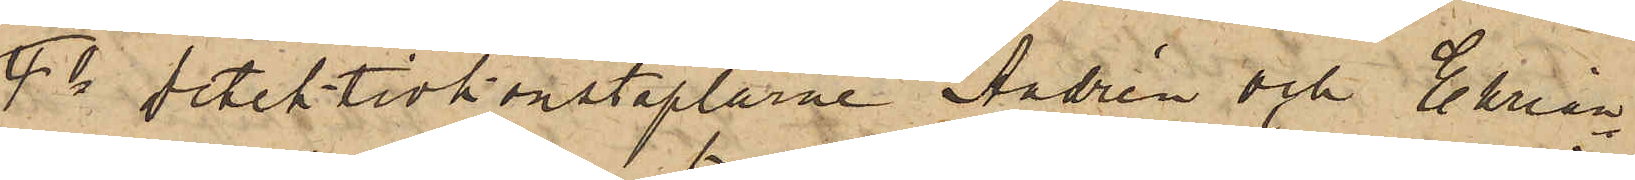4o Detektivkonstaplarne Andrén och Ehrian¬
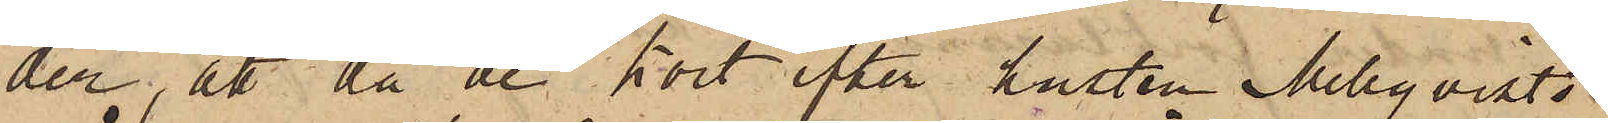der, att då de kort efter hustru Mellqvists
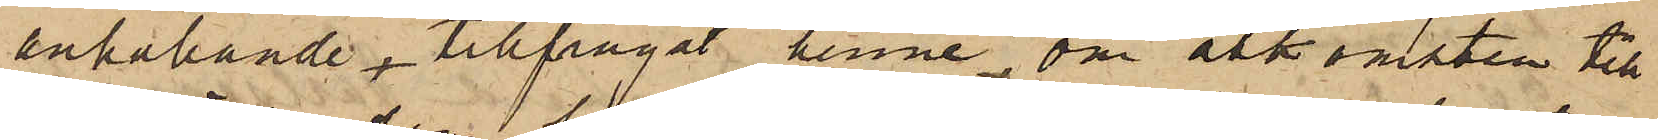anhållande, tillfrågat henne om åtkomsten till
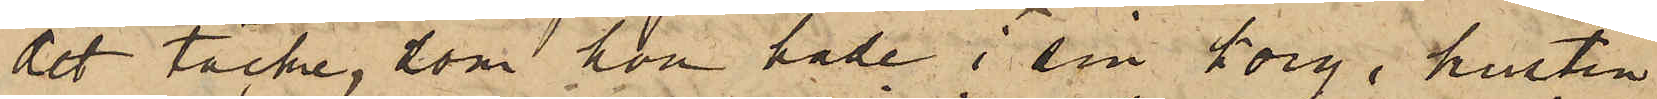det täcke, som hon hade i sin korg, hustru
